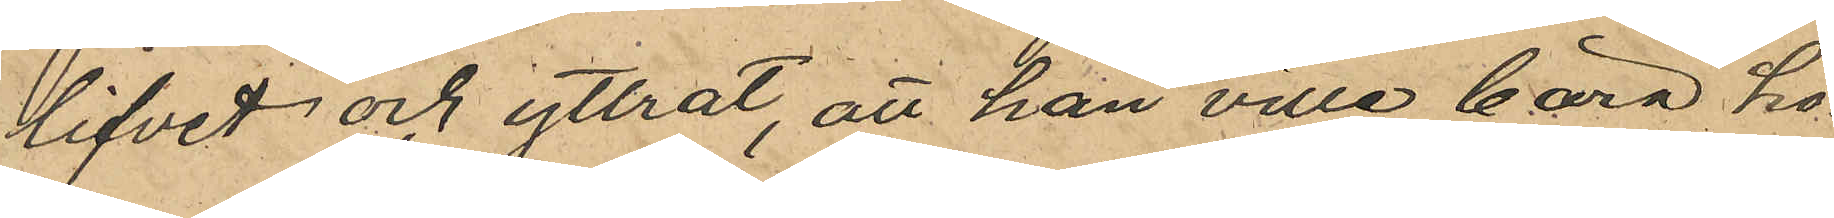lifvet och yttrat, att han ville bära ho¬
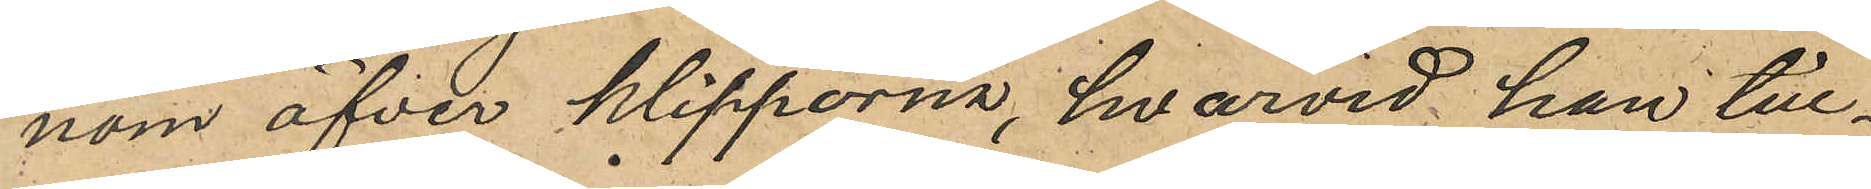nom öfver klipporna, hvarvid han till¬
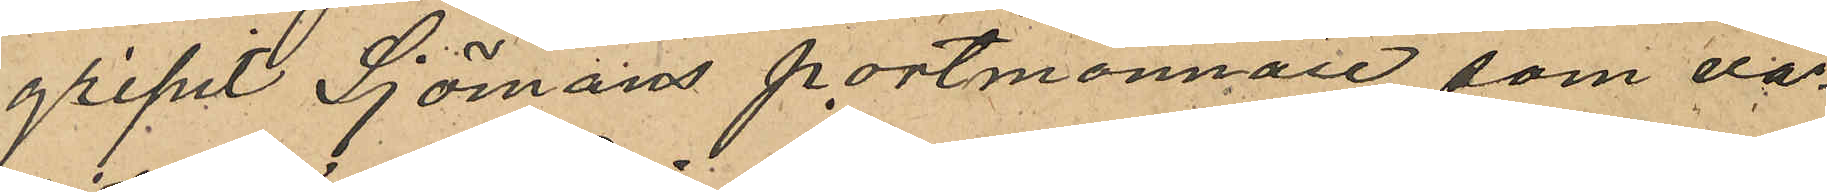gripit Sjömans portmonnaie, som va¬
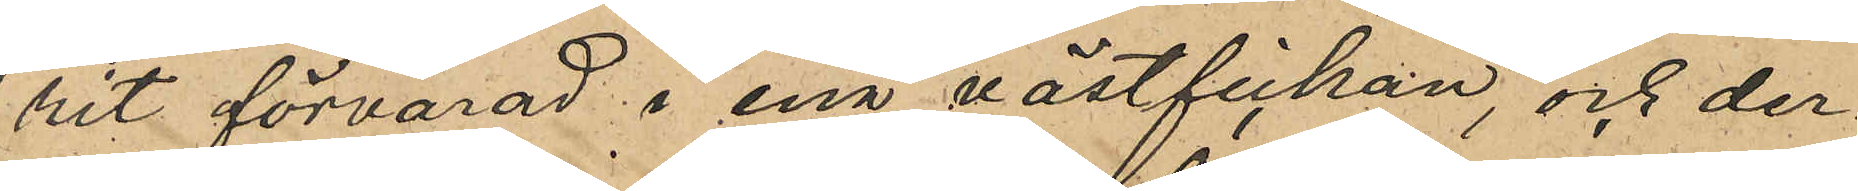rit förvarad i ena västfickan, och der¬
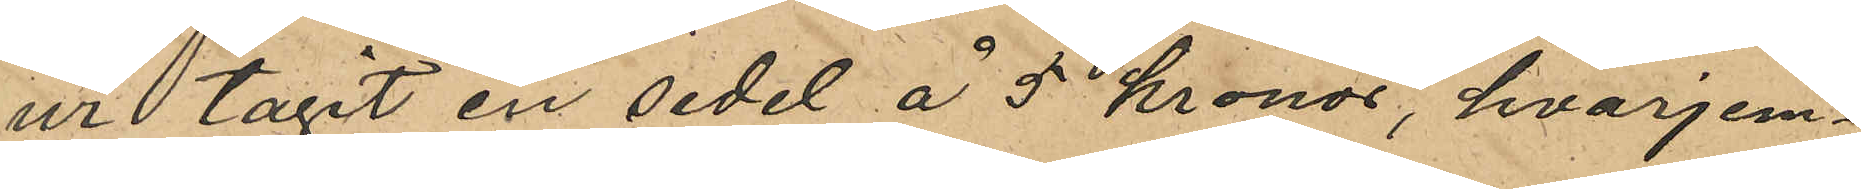ur tagit en sedel å 5 kronor, hvarjem¬
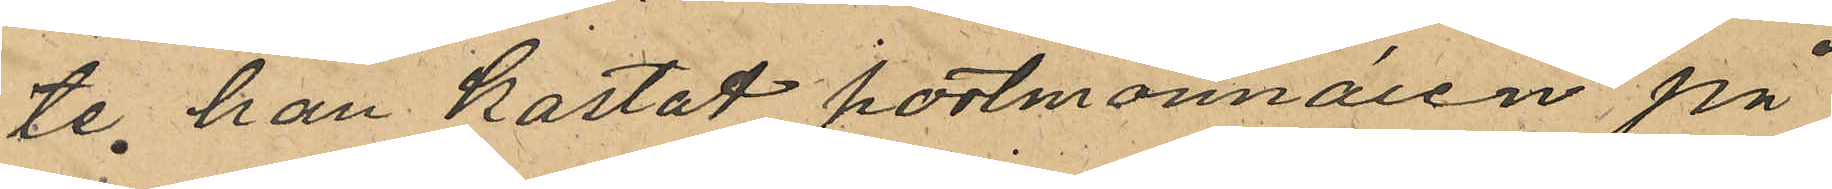te han kastat portmonnaien på
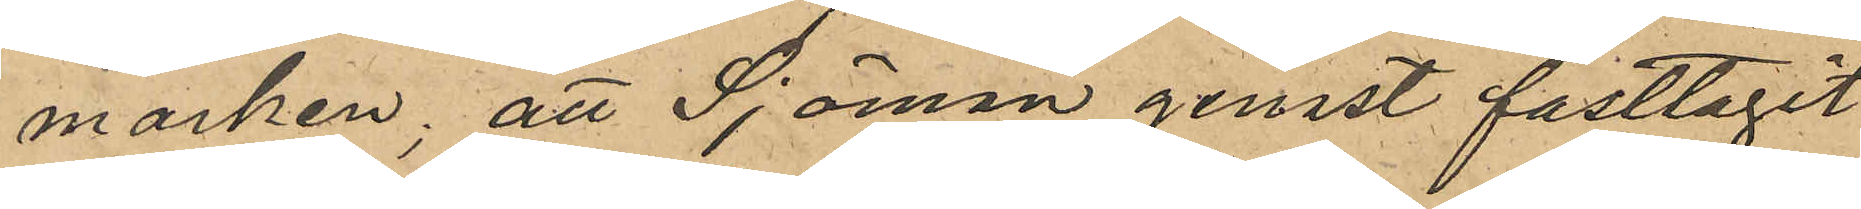marken, att Sjöman genast fasttagit
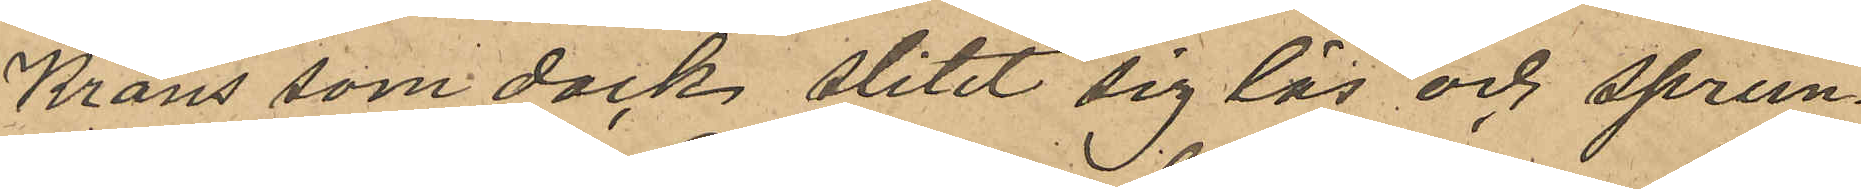Krans som dock slitit sig lös och sprun¬
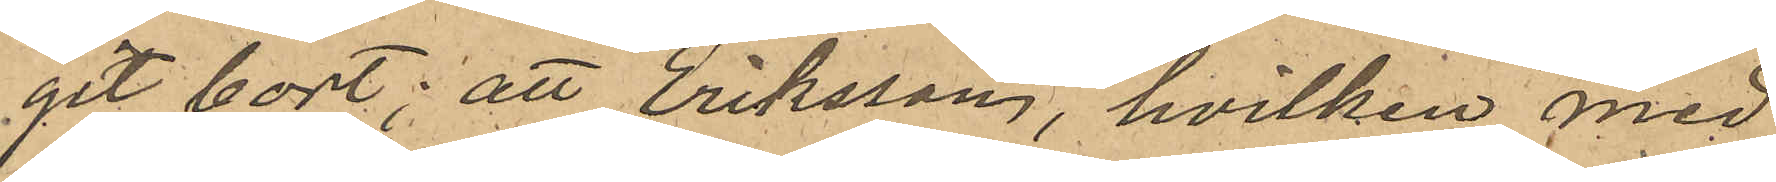git bort; att Eriksson, hvilken med
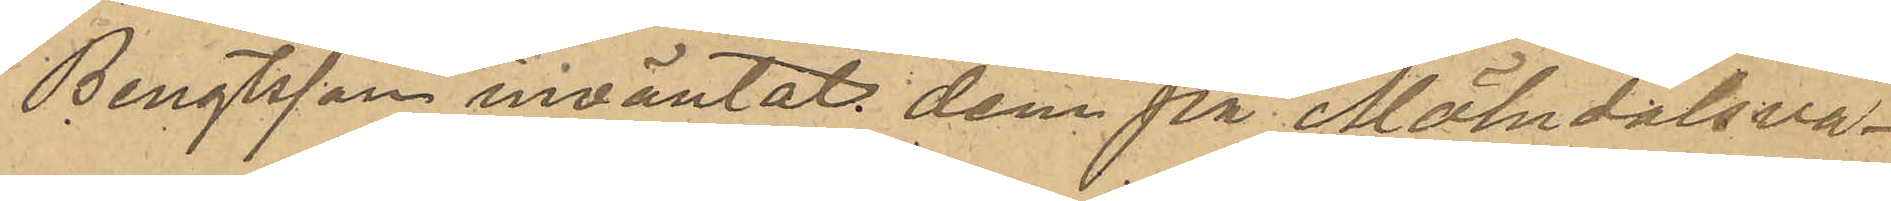Bengtsson inväntat dem på Mölndalsvä¬
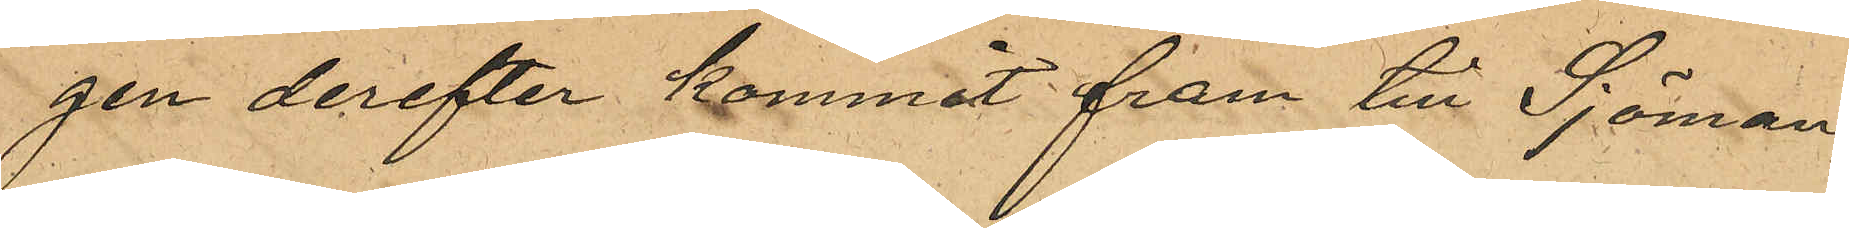gen derefter kommit fram till Sjöman,
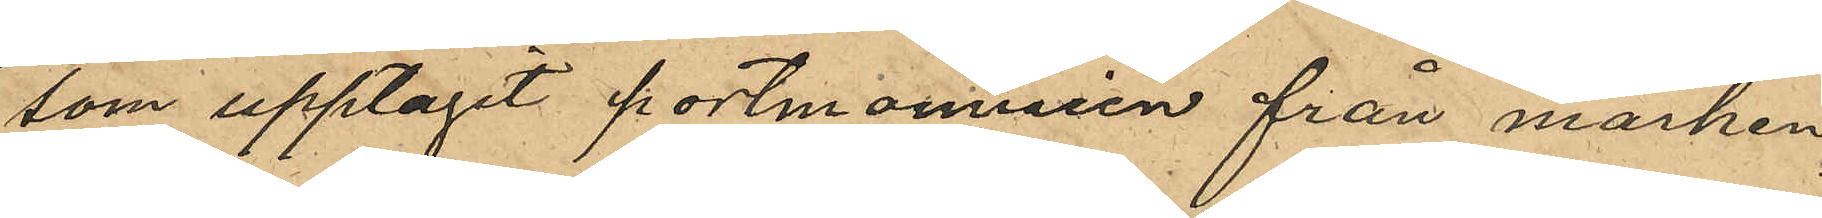som upptagit portmonnaien från marken
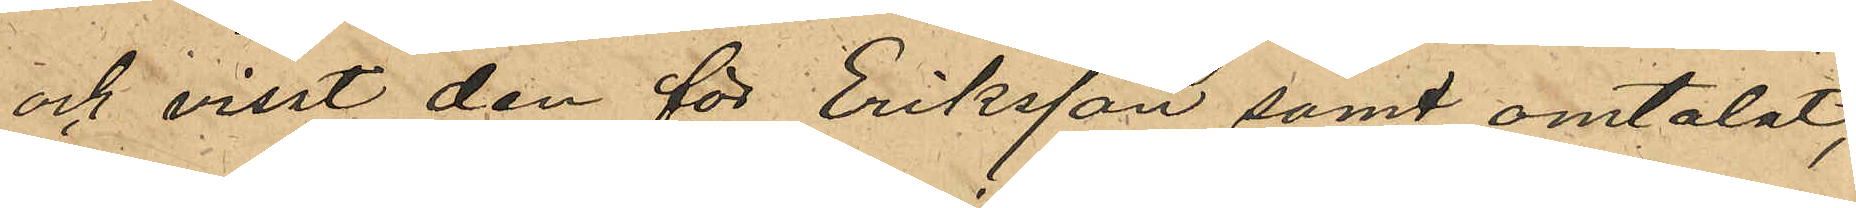och visat den för Eriksson samt omtalat,
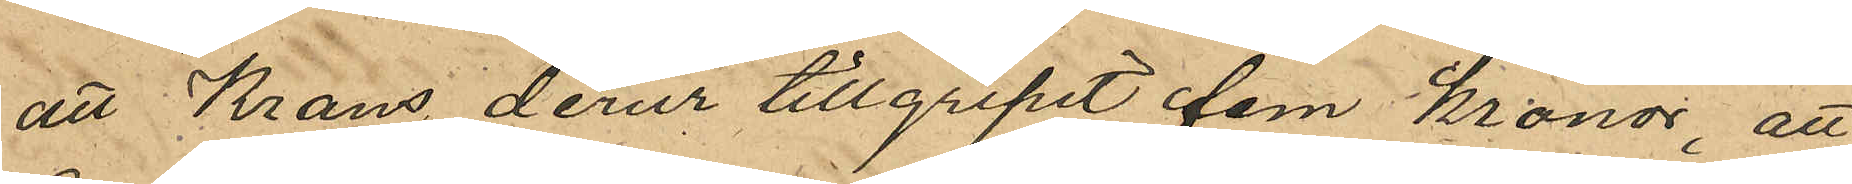att Krans derur tillgripit fem kronor, att
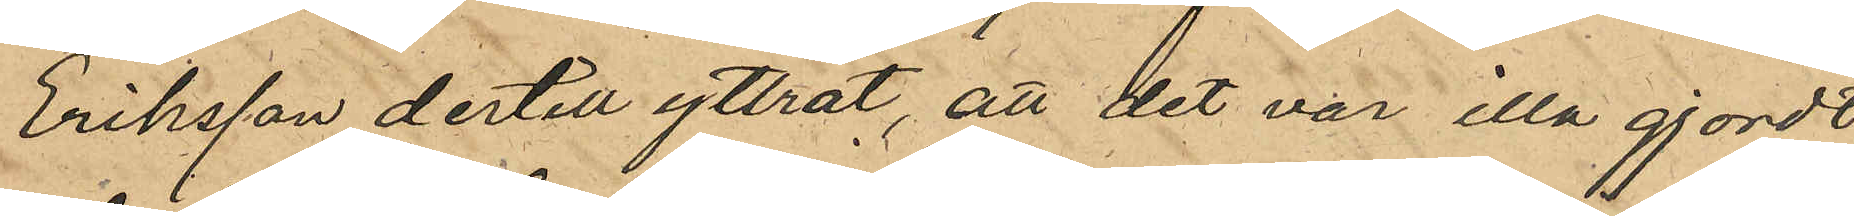Eriksson dertill yttrat, att det var illa gjort
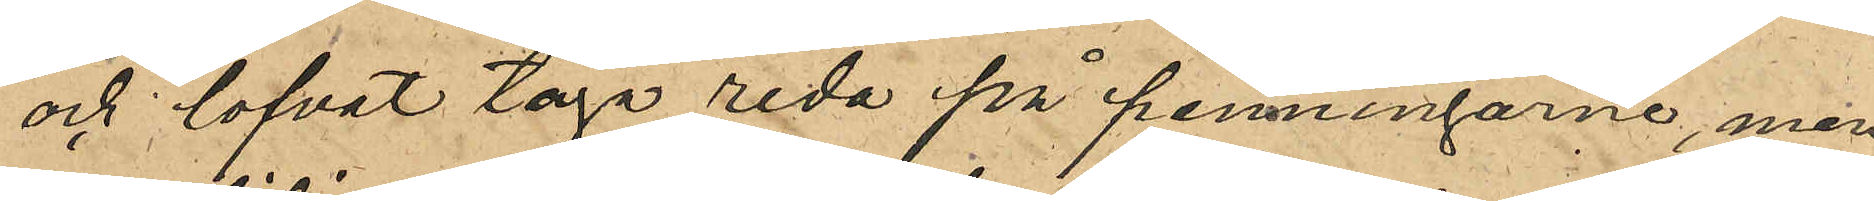och lofvat taga reda på penningarne, men
